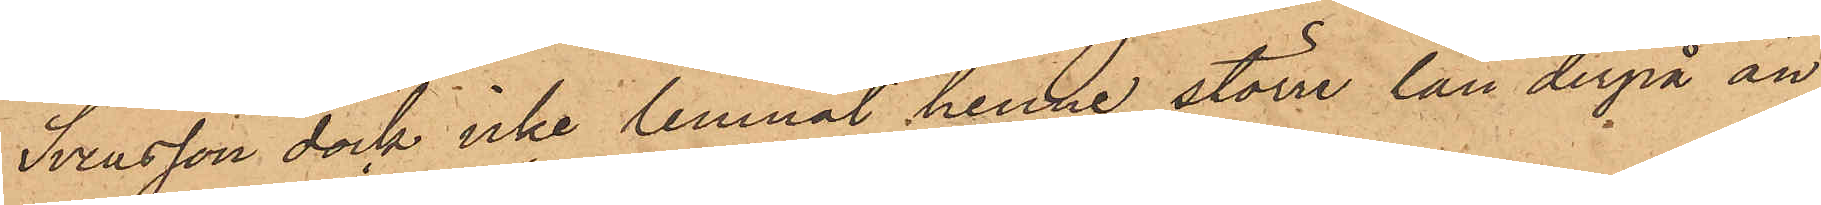Svensson dock icke lemnat henne större lån derpå än
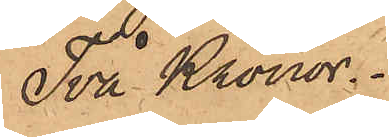Två Kronor.
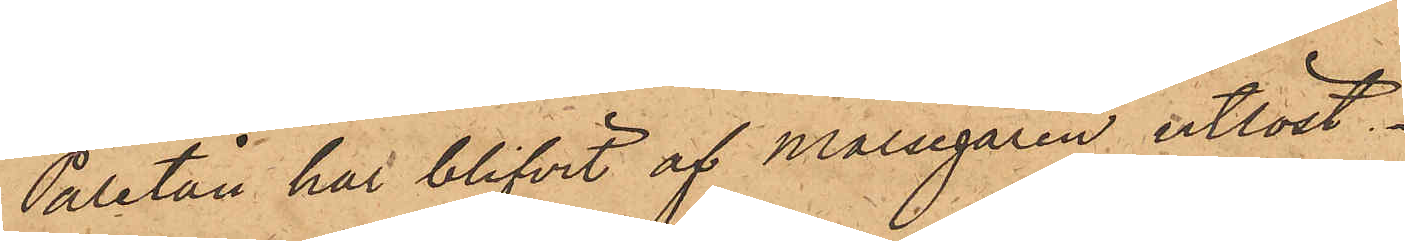Paletån har blifvit af Målsegaren utlöst.
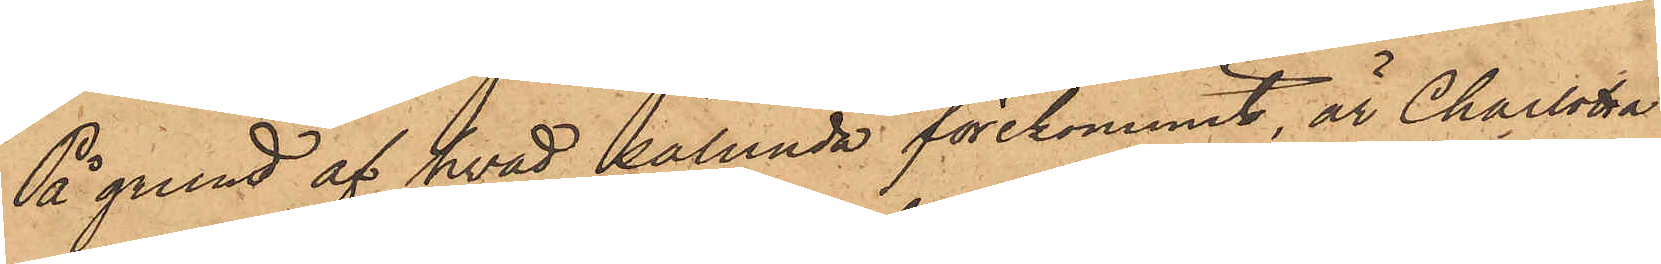På grund af hvad sålunda förekommit, är Charlotta
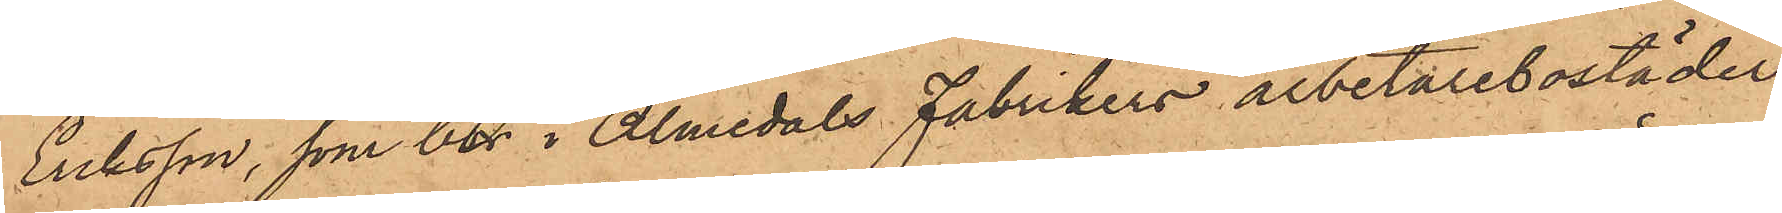Eriksson, som bor i Almedals Fabrikers arbetarebostäder,
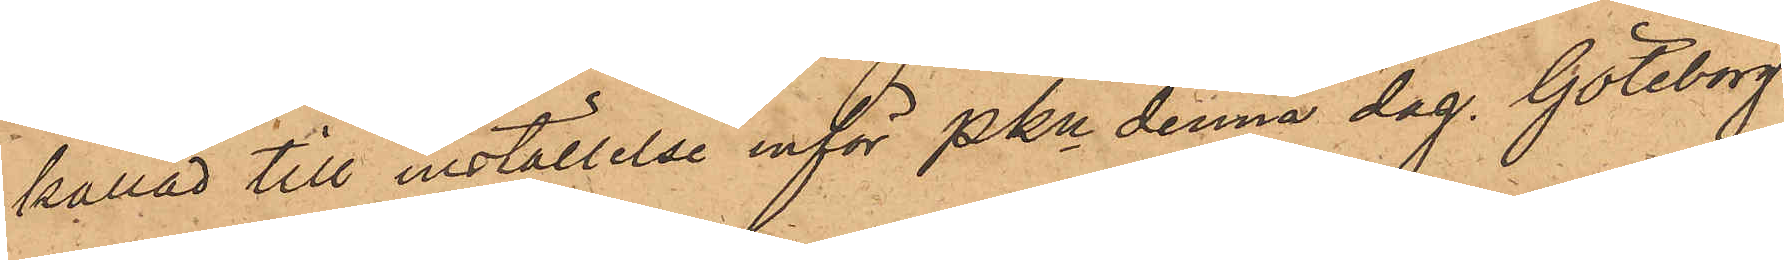kallad till inställelse inför Pkn denna dag. Göteborg
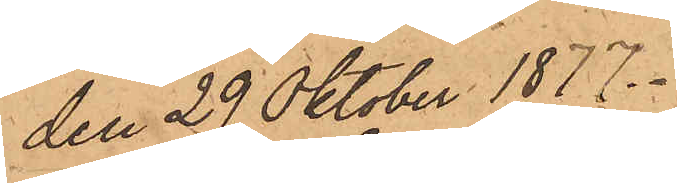den 29 Oktober 1877.
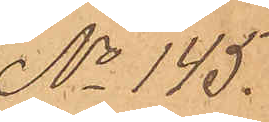No 145.
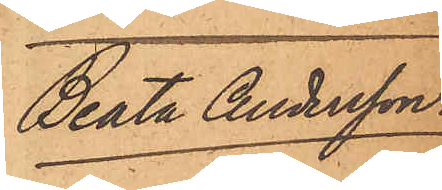Beata Andersson.
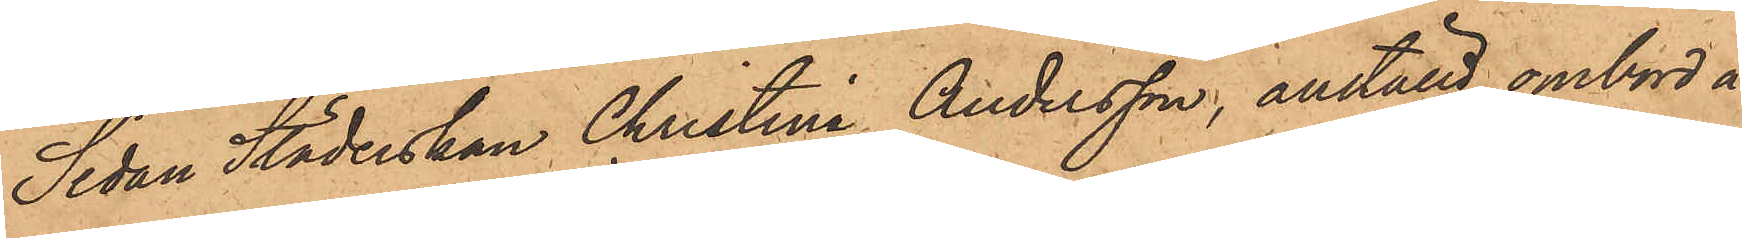Sedan Städerskan Christina Andersson, anställd ombord å
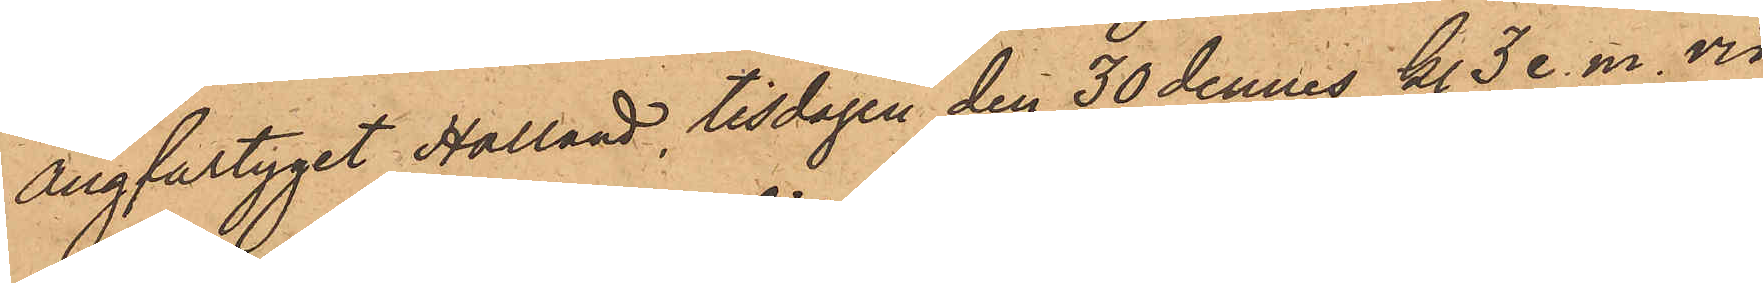Ångfartyget Halland, tisdagen den 30 dennes kl. 3 e. m. vid
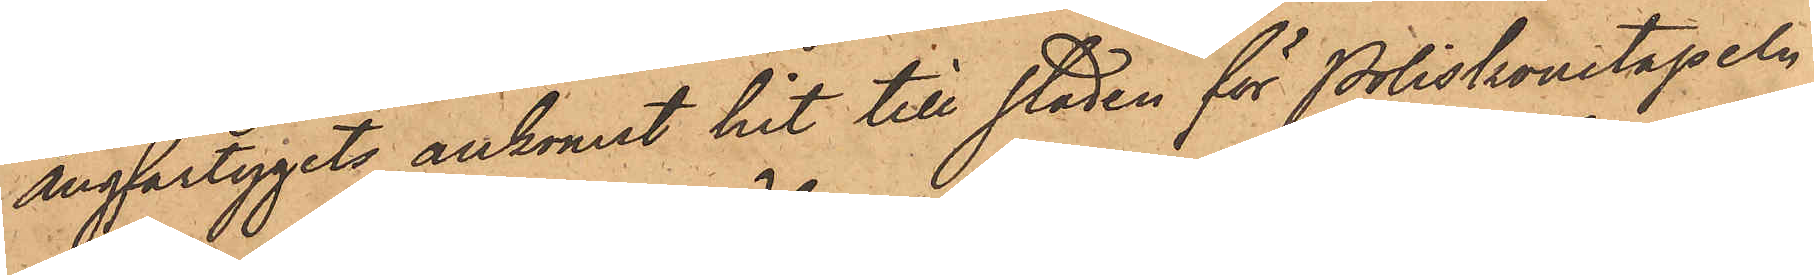Ångfartygets ankomst hit till staden för Poliskonstapeln
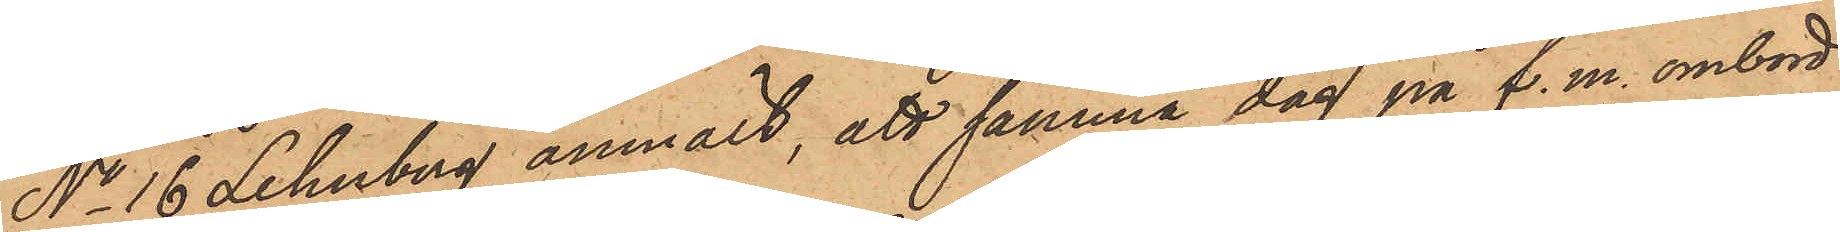No 16 Lehnberg anmält, att samma dag på f. m. ombord
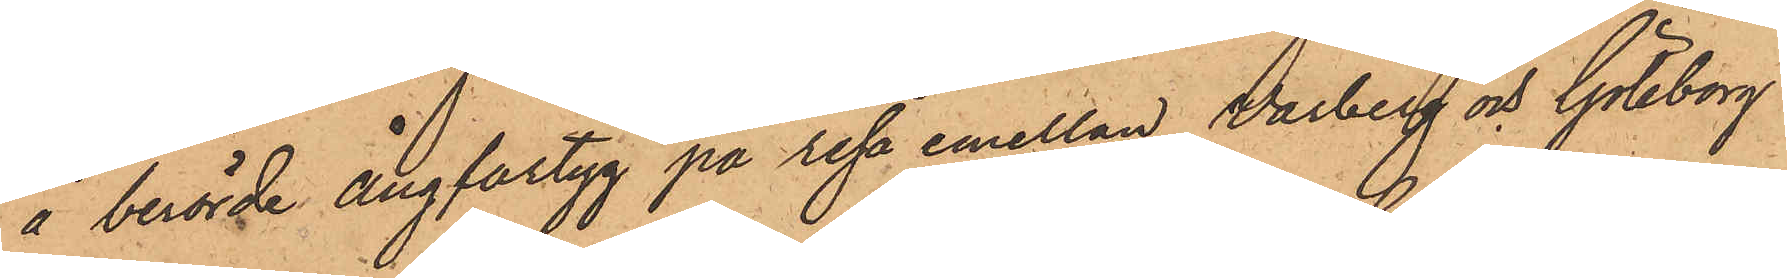å berörde Ångfartyg på resa emellan Warberg och Göteborg
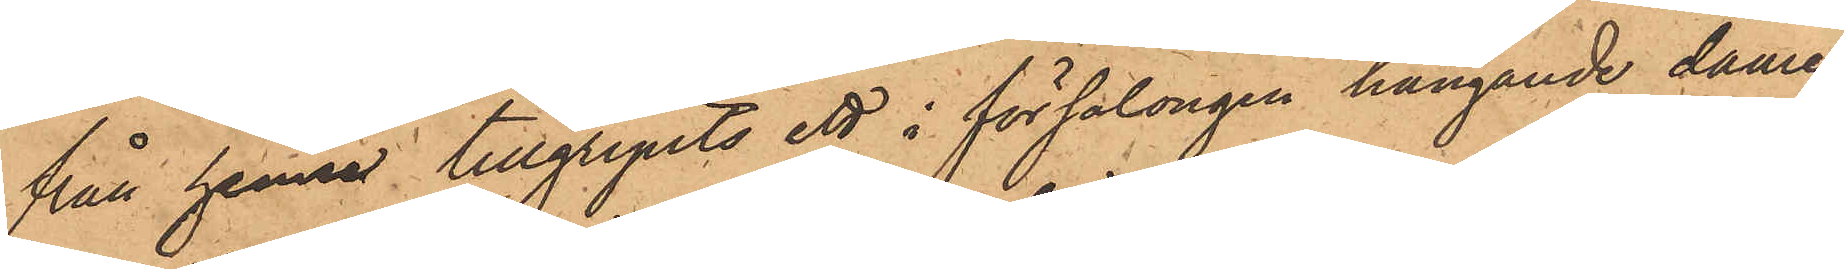från henne tillgripits ett i försalongen hängande dame¬
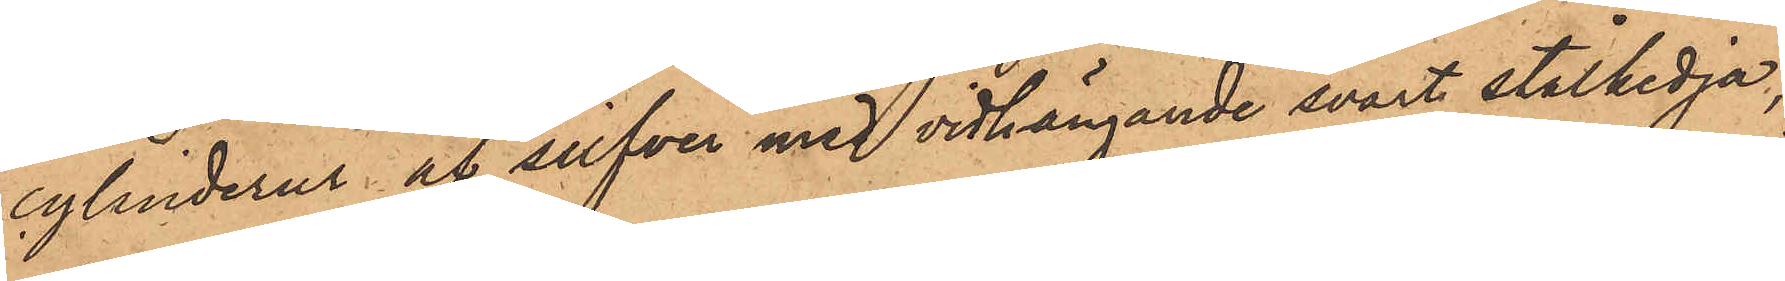cylinderur af silfver med vidhängande svart stålkedja,
